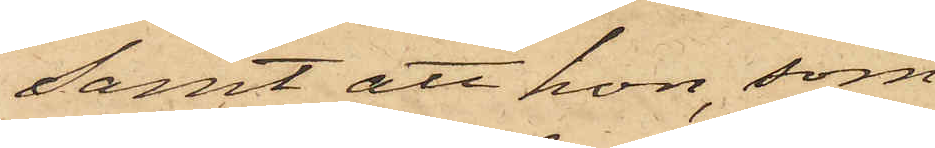samt att hon, som
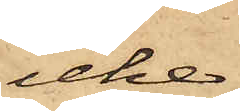icke
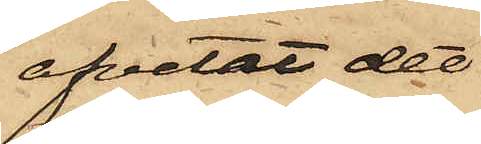afvetat det
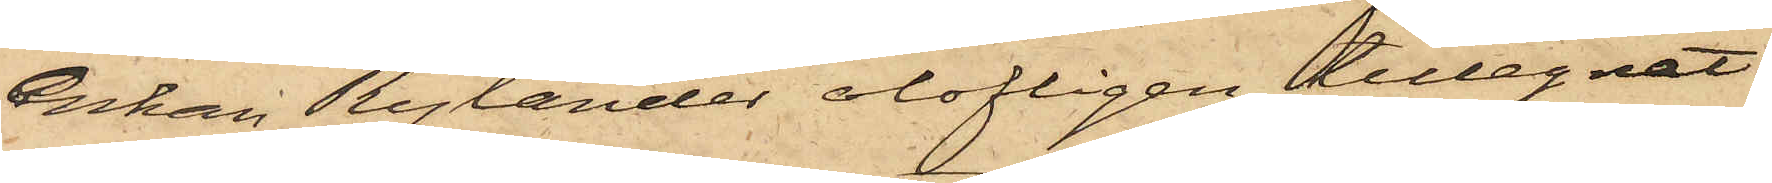Enkan Rylander olofligen tillegnat
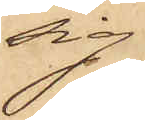sig
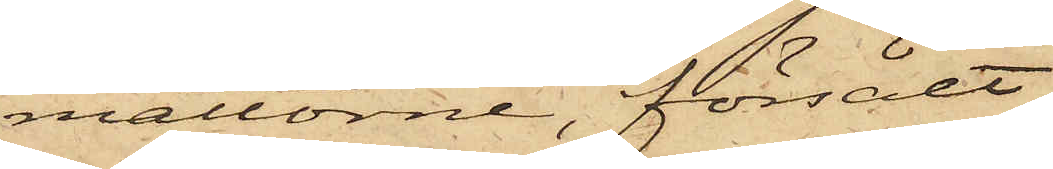mattorne, försålt
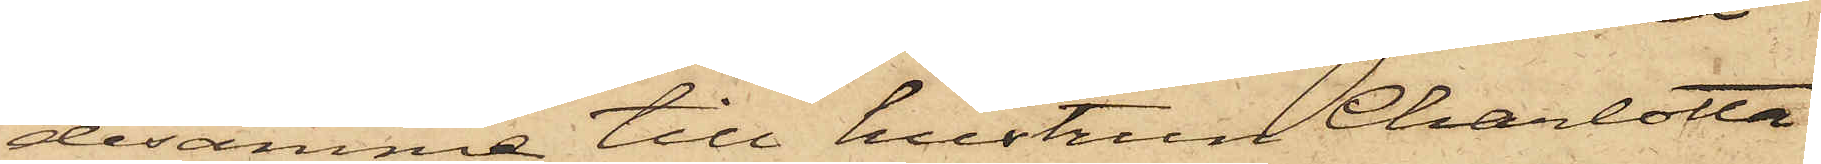desamma till hustrun Charlotta
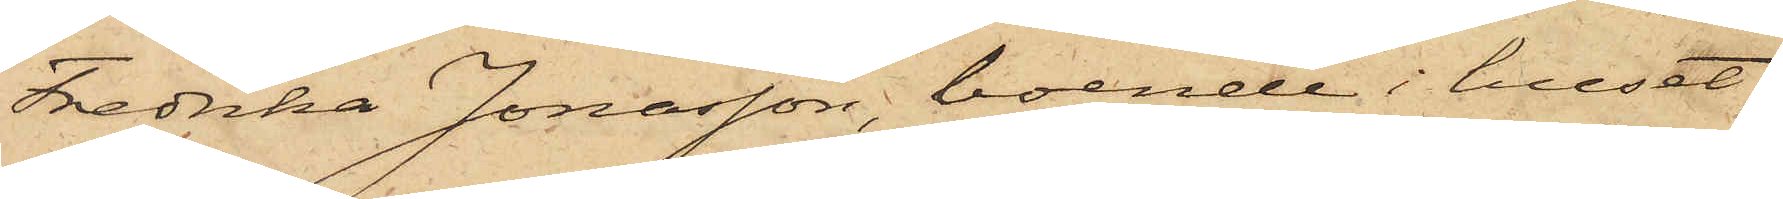Fredrika Jonasson, boende i huset
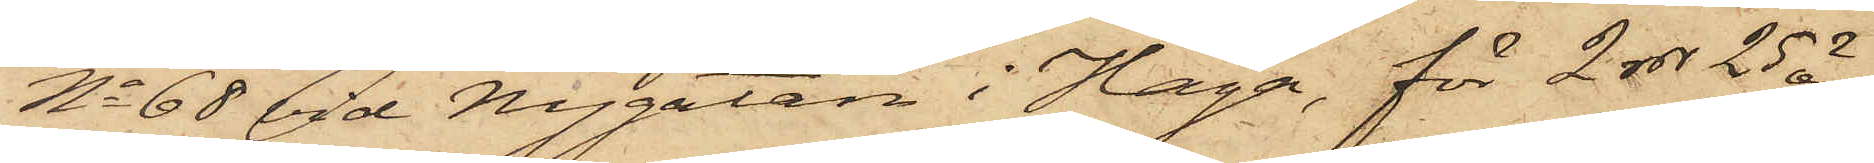No 68 vid Nygatan i Haga, för 2 rdr 25 öre,
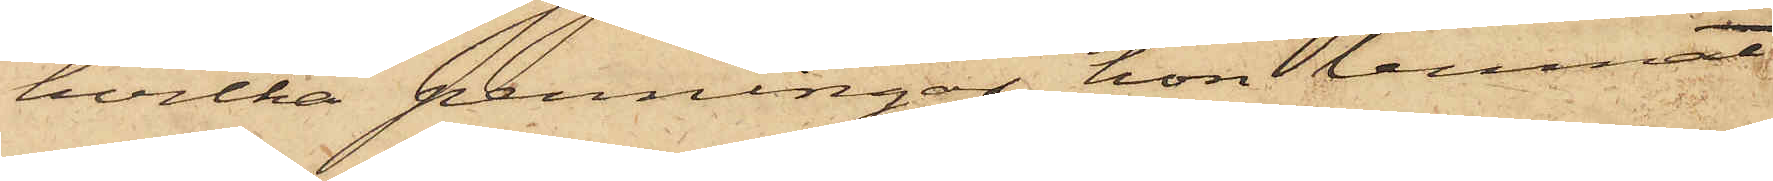hvilka penningar hon lemnat
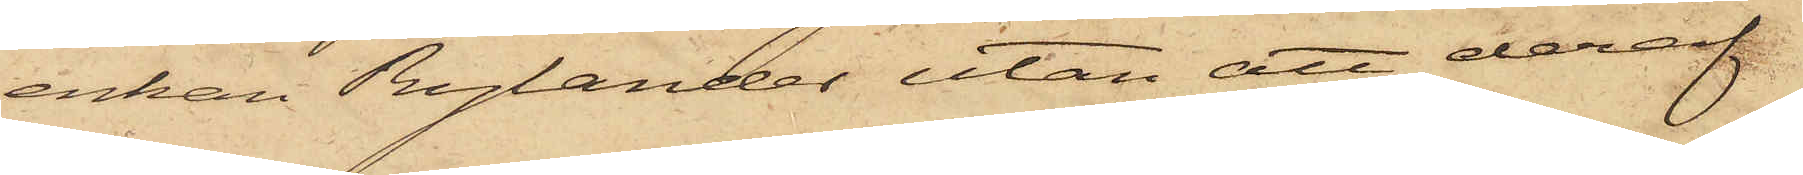enkan Rylander utan att deraf
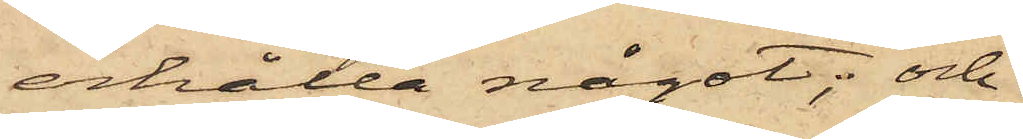erhålla något; och
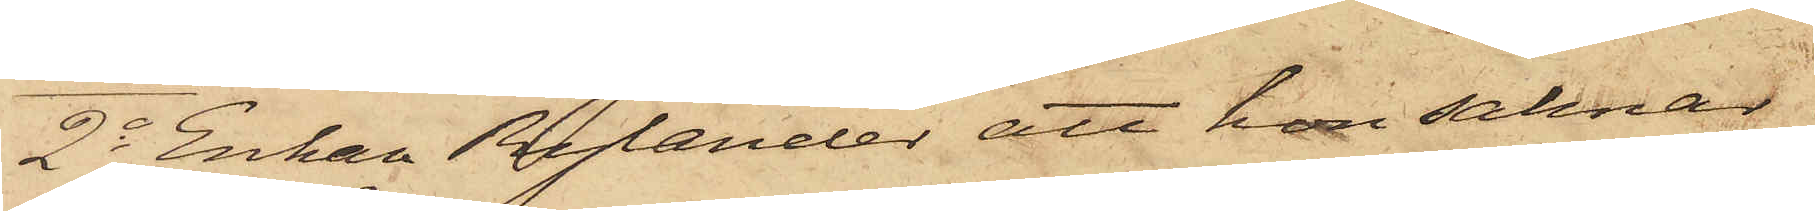2o Enkan Rylander att hon saknar
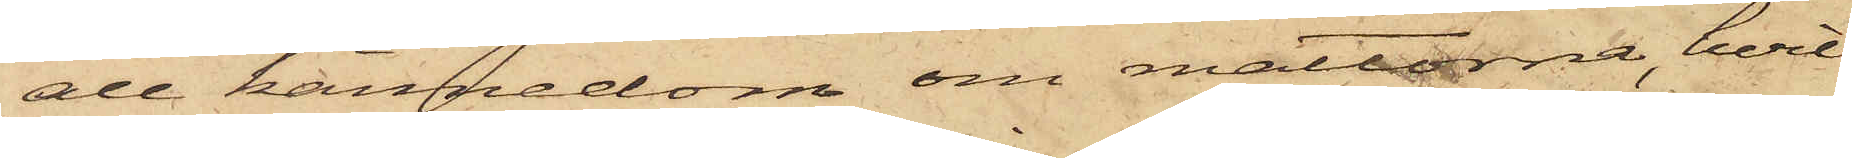all kännedom om mattorna, hvil¬
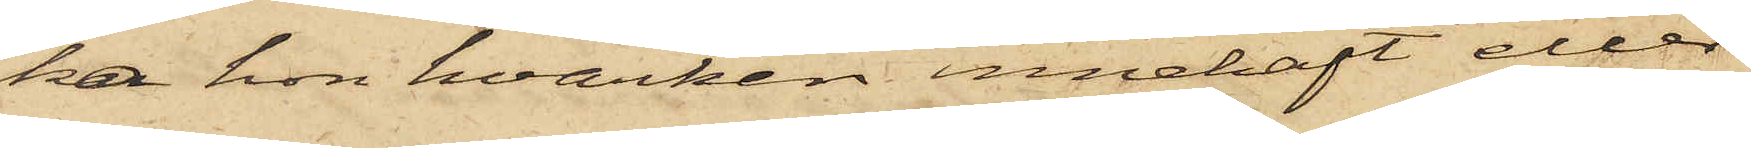ka hon hvarken innehaft eller
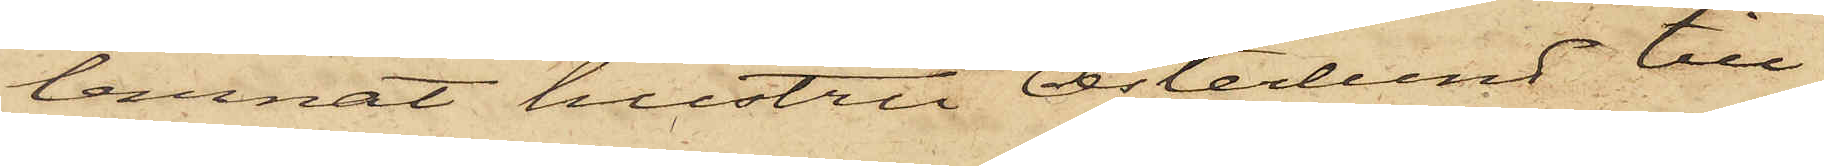lemnat hustru Österlund till
